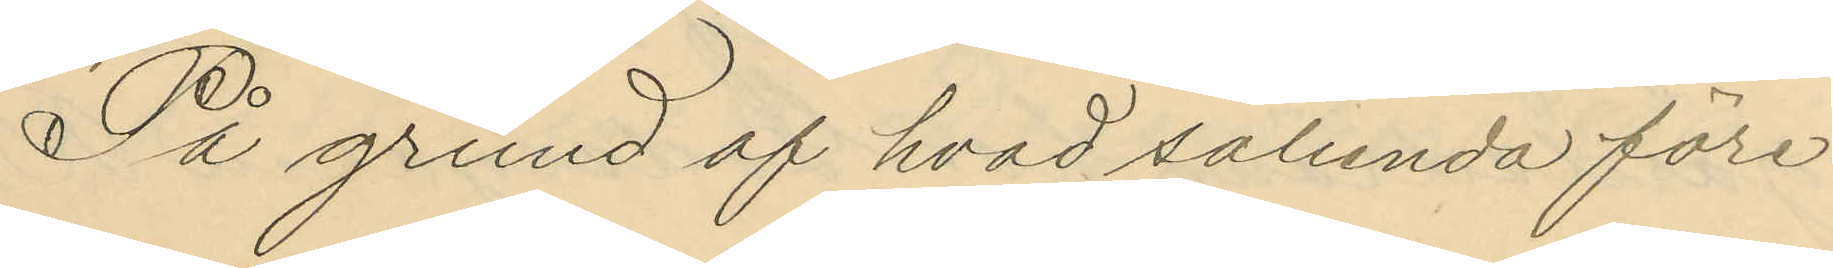På grund af hvad sålunda före
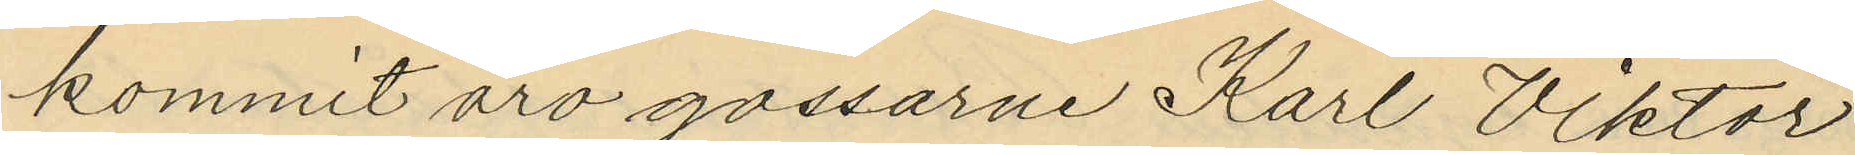kommit äro gossarne Karl Viktor
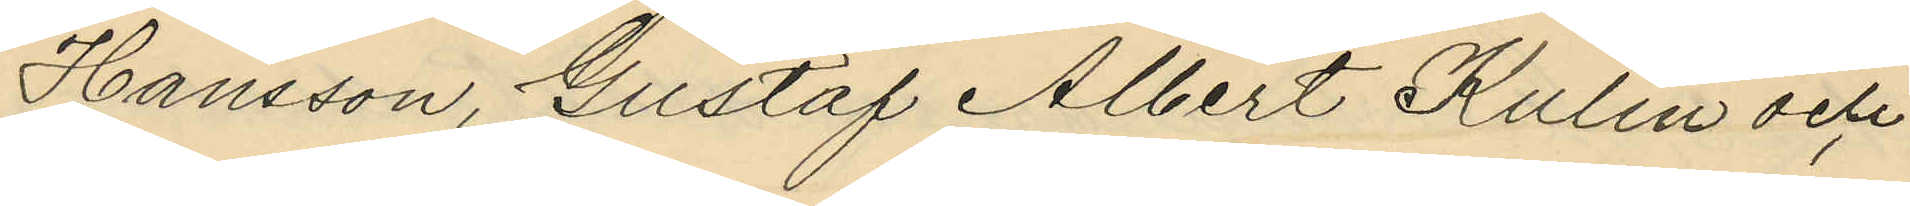Hansson, Gustaf Albert Kulin och
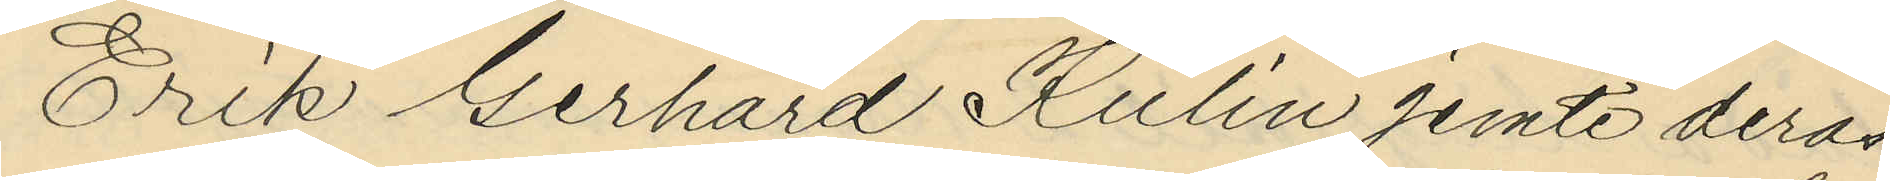Erik Gerhard Kulin jemte deras
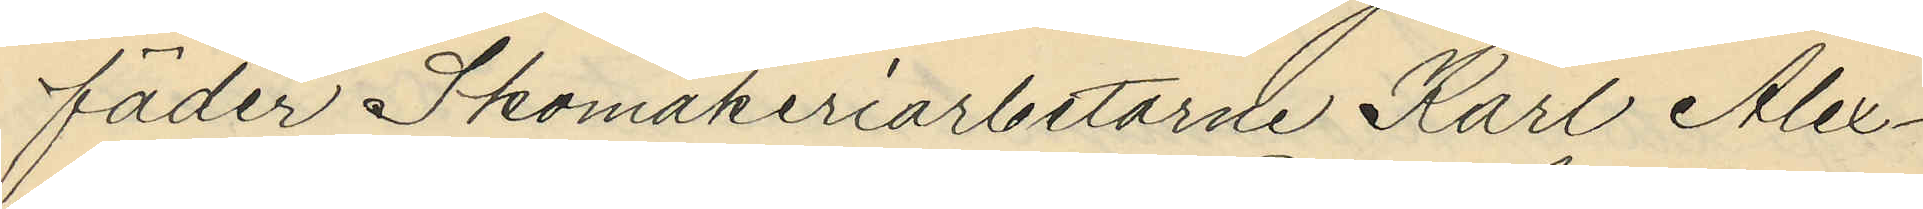fäder Skomakeriarbetarne Karl Alex¬
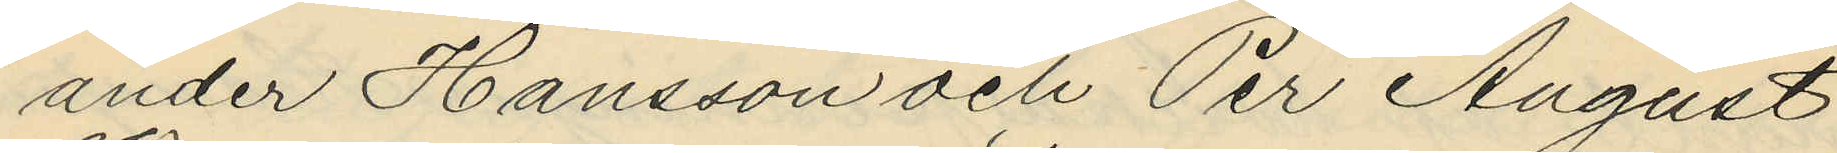ander Hansson och Per August
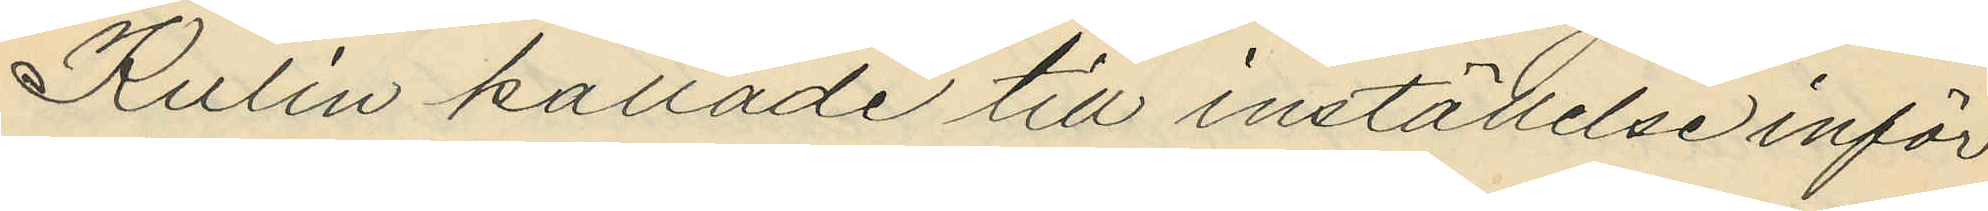Kulin kallade till inställelse inför
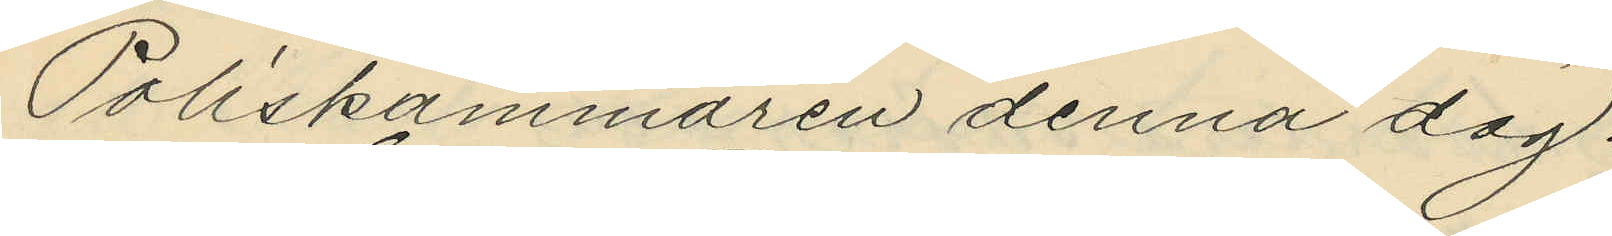Poliskammaren denna dag.
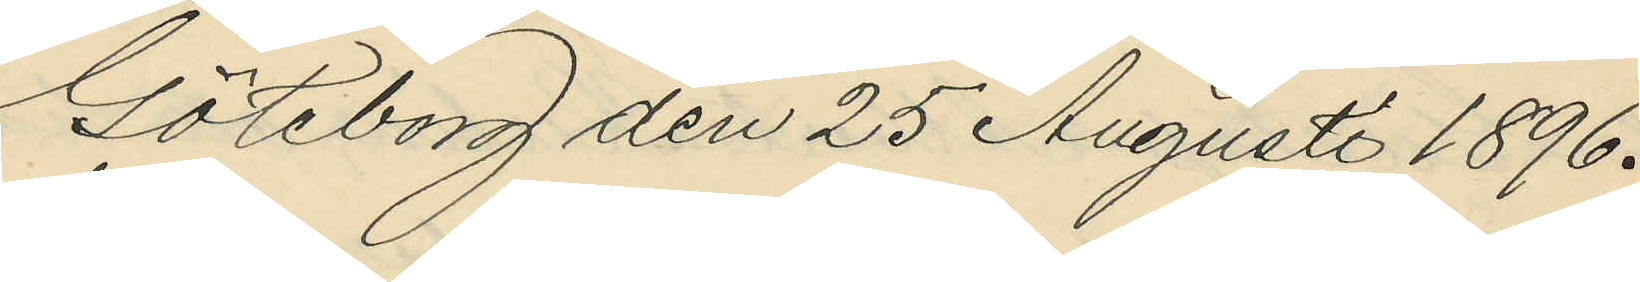Göteborg den 25 Augusti 1896.
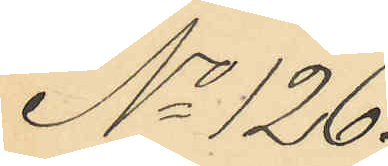No 126.
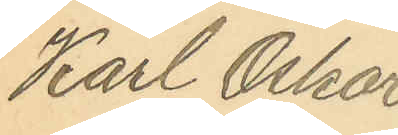Karl Oskar
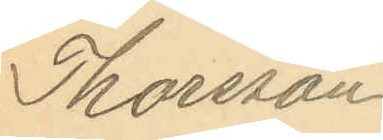Thorsson
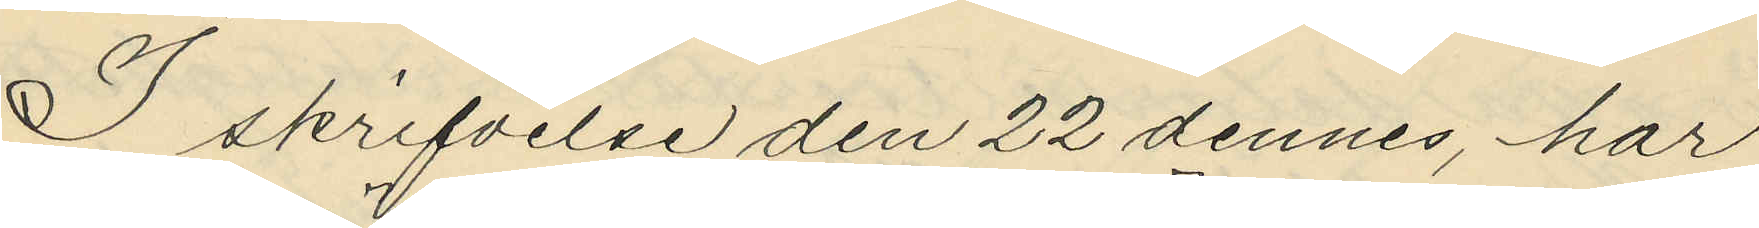I skrifvelse den 22 dennes, har
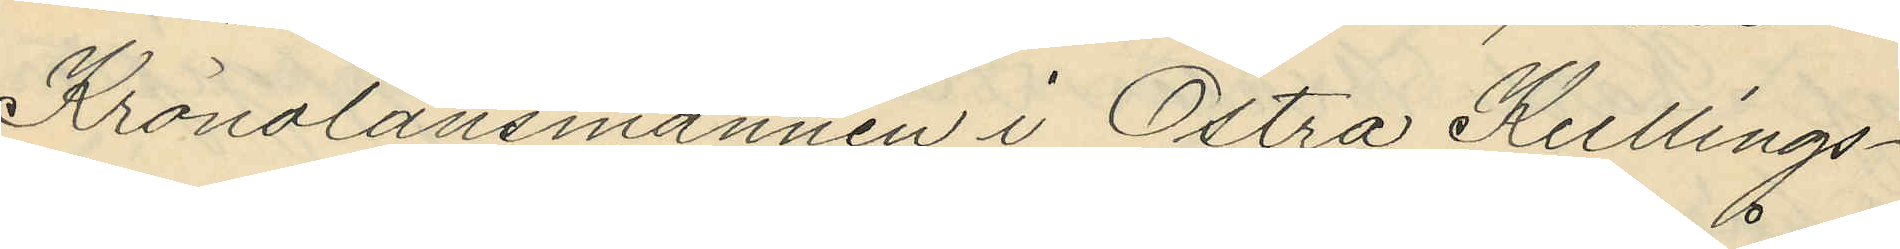Kronolänsmannen i Östra Kullings¬
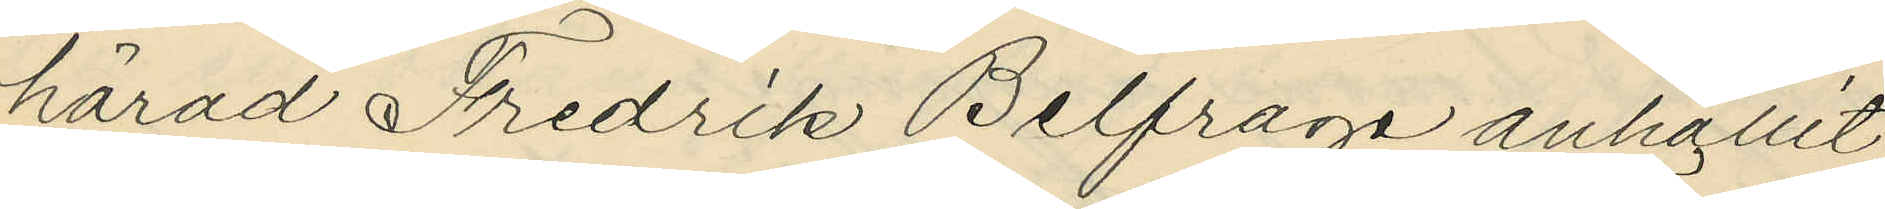härad Fredrik Belfrage anhållit
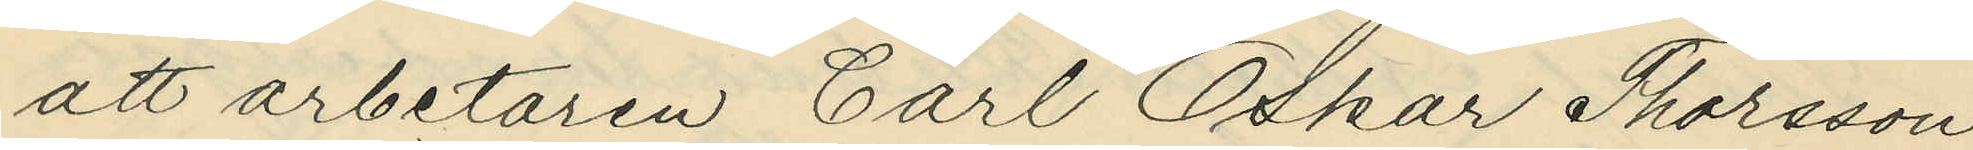att arbetaren Carl Oskar Thorsson
